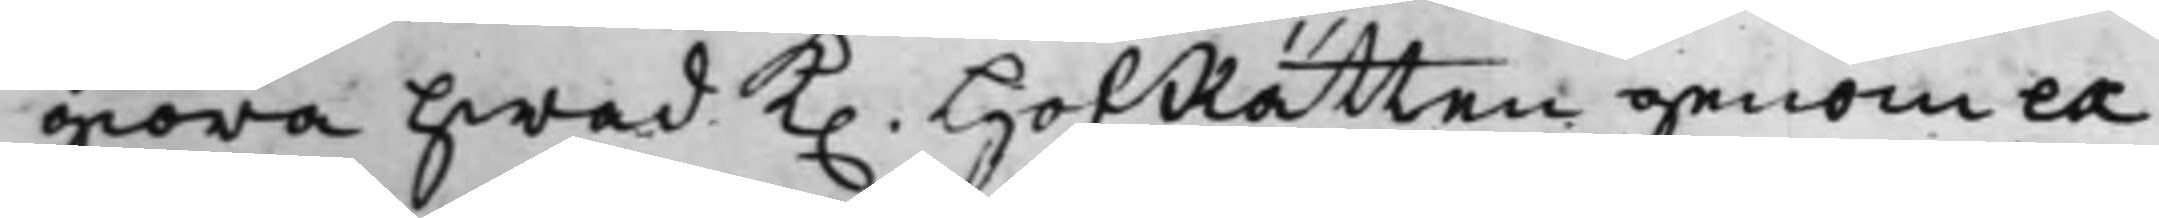giöra hwad K. HofRätten genom ex¬
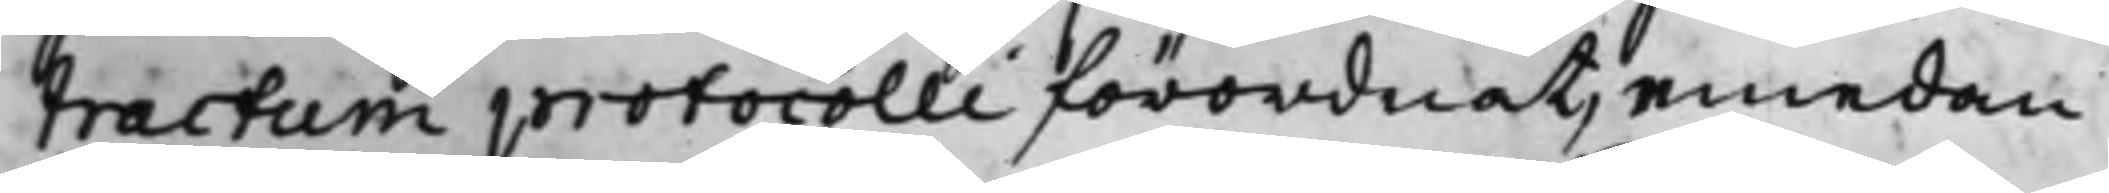tractum protocolli förordnat, emedan
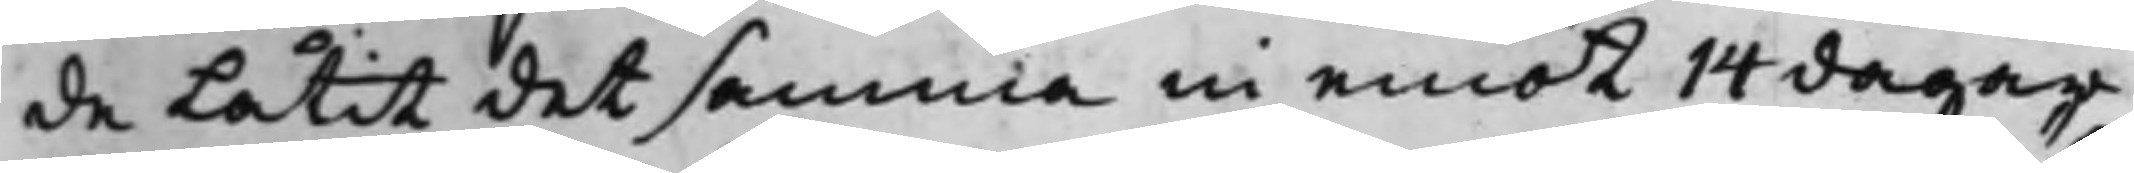de låtit det samma in emot 14 dagar
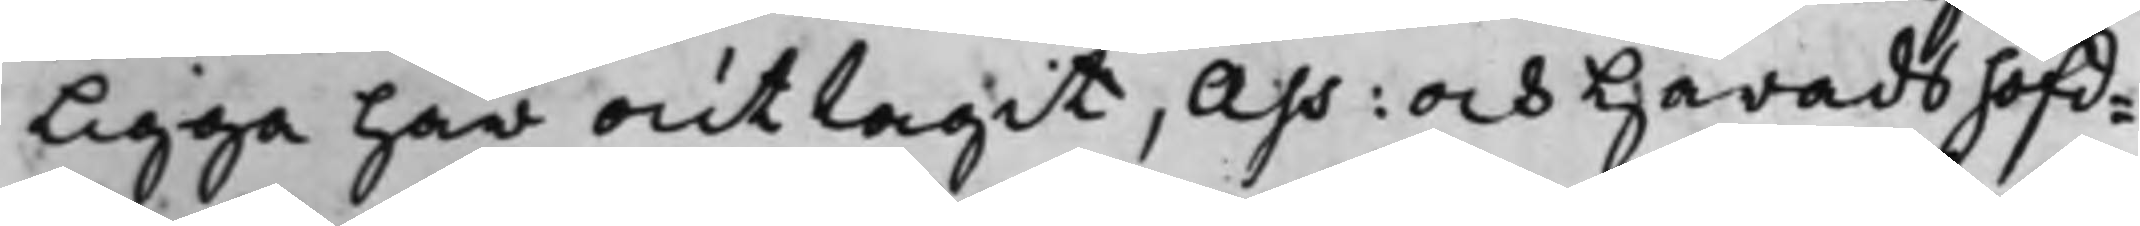ligga här outtagit, och Häradshöfd.
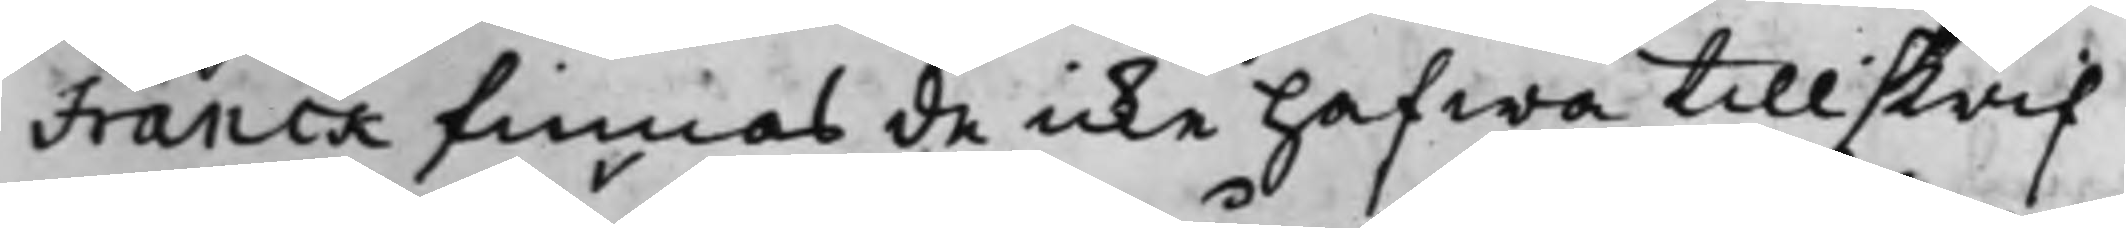Franck finnas de icke hafwa tillskrif¬
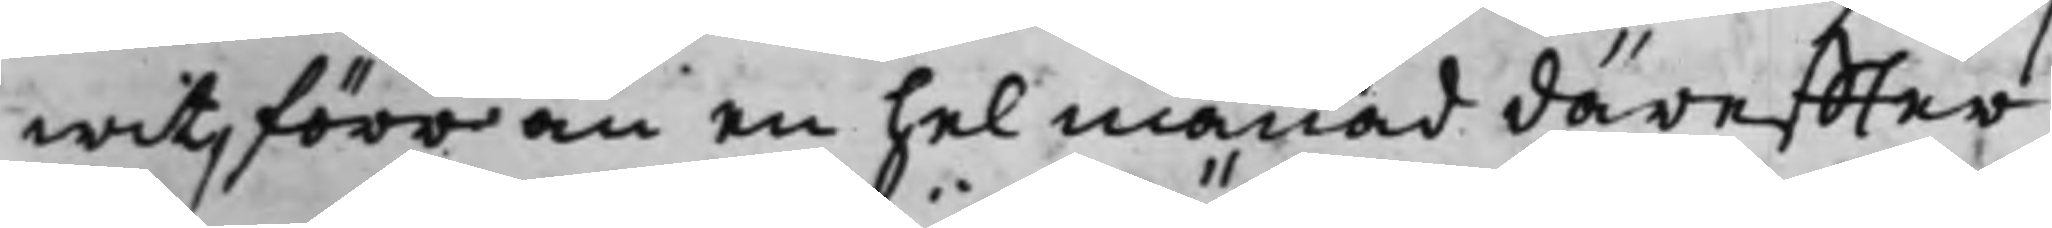wit, förr än en hel månad däreffter,
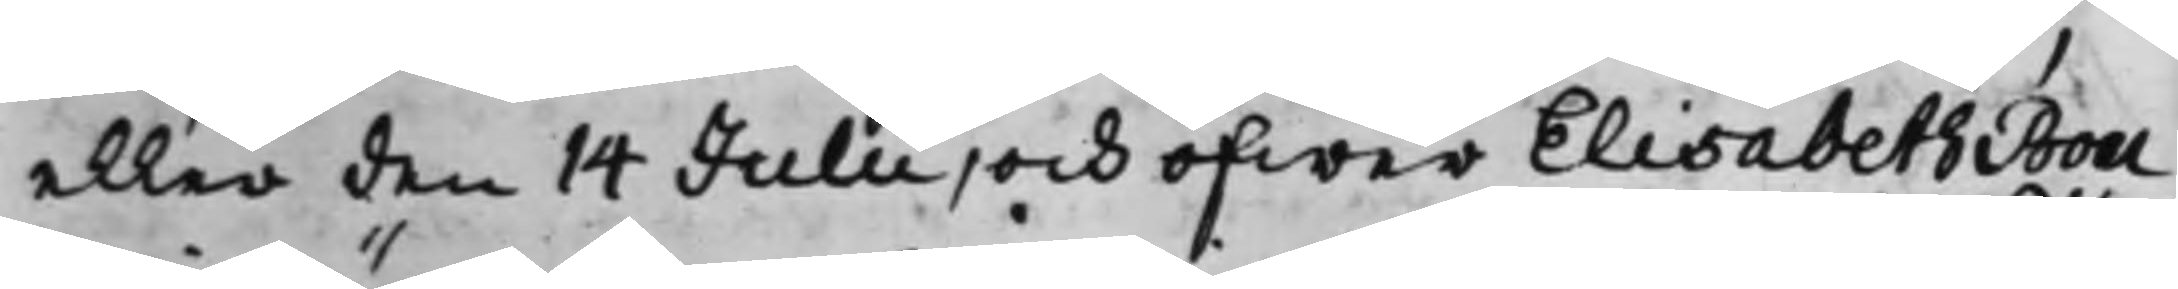eller den 14 Julii, och öfwer Elisabeth Bou¬
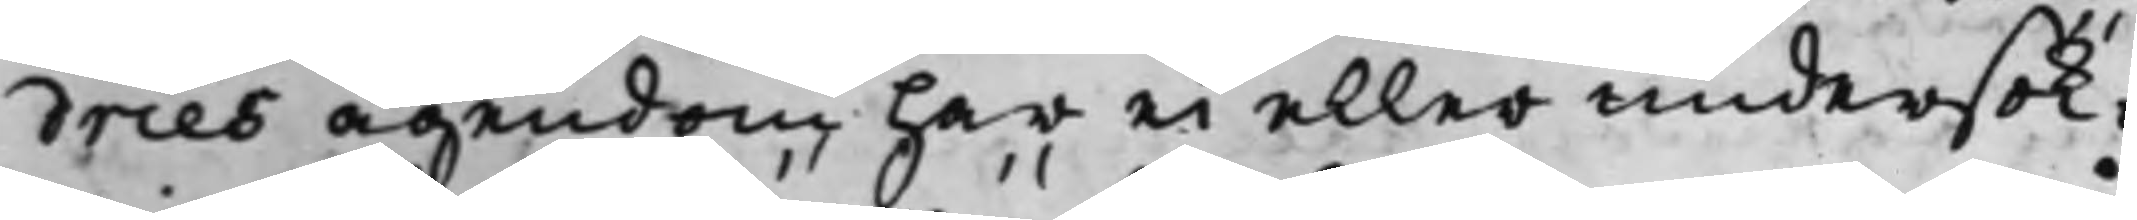dries ägendom har ei eller undersök¬
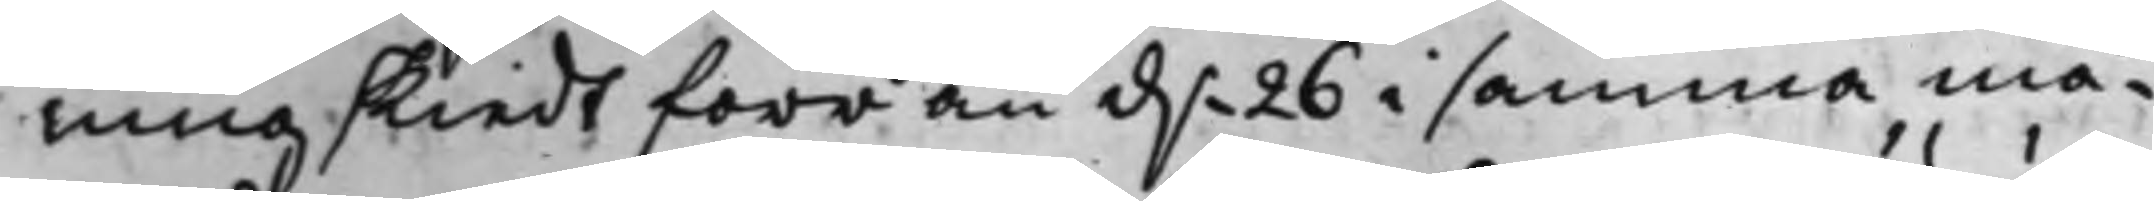ning skiedt förr än d. 26 i samma må¬
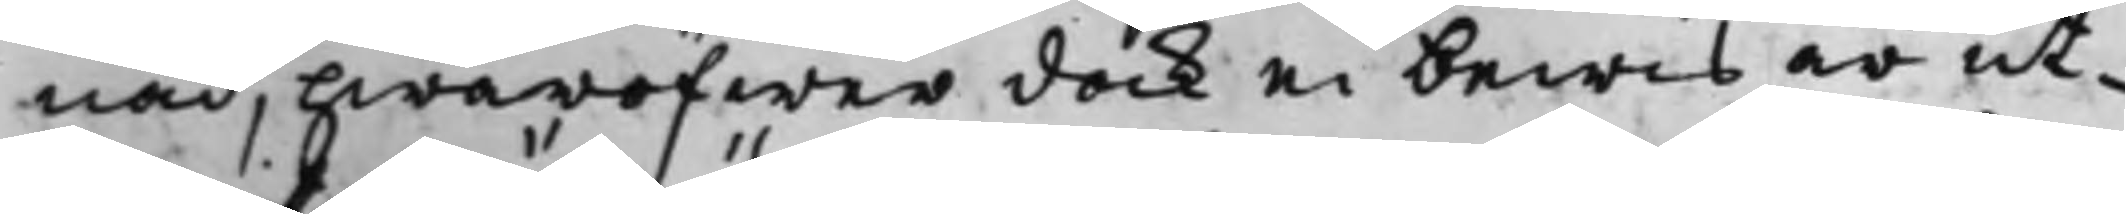nad, hwaröfwer dock ei bewis är ut¬
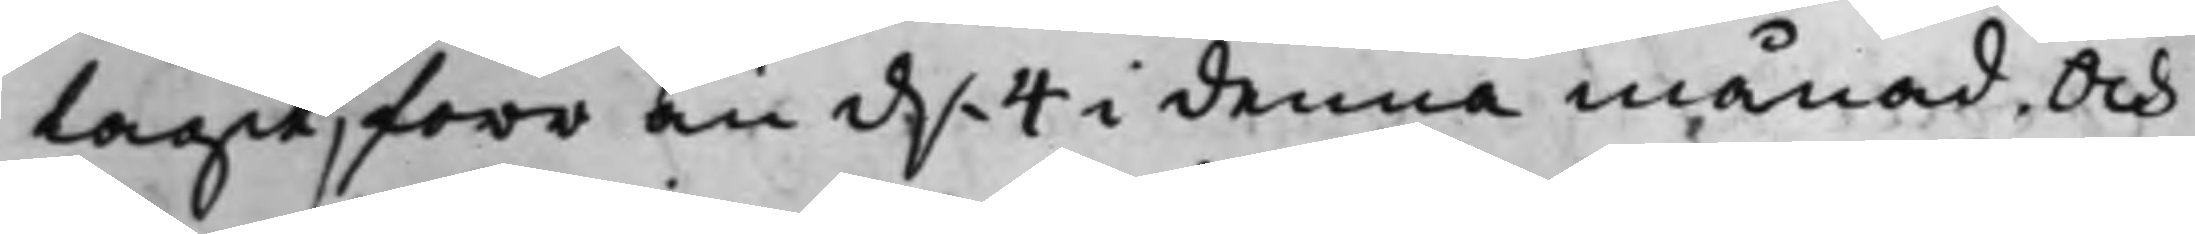tagit, förr än d. 4 i denna månad. Och
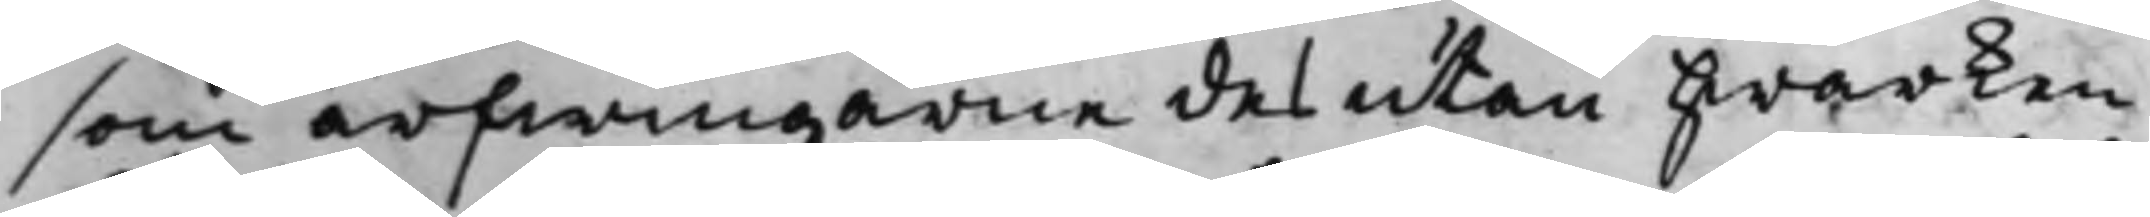som arfwingarne des utan Hwarken
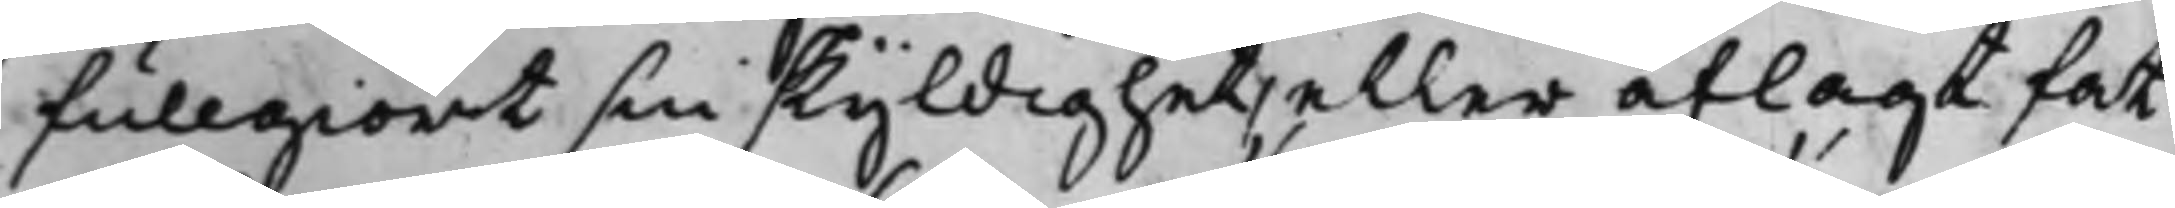fullgiort sin skyldighet, eller aflagt fat¬
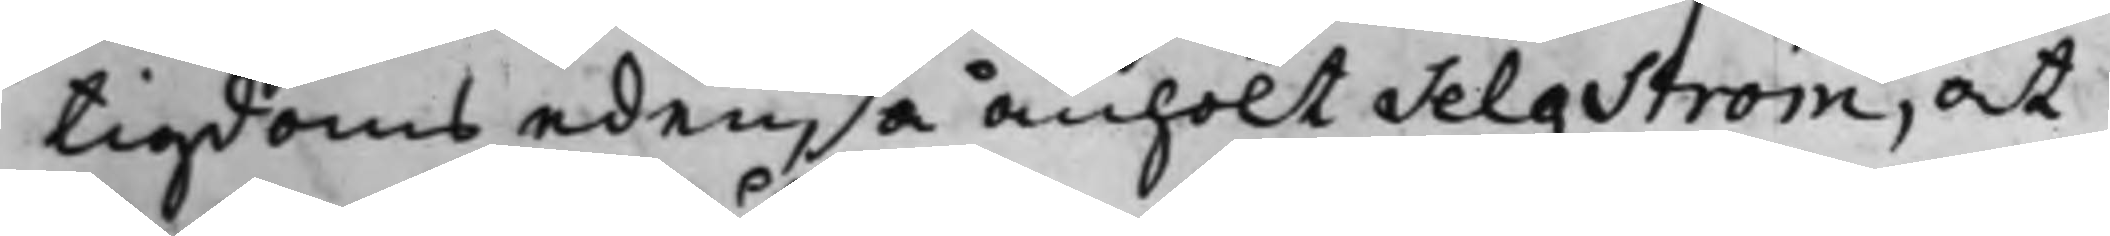tigdoms eden, så anhölt Selgström, at
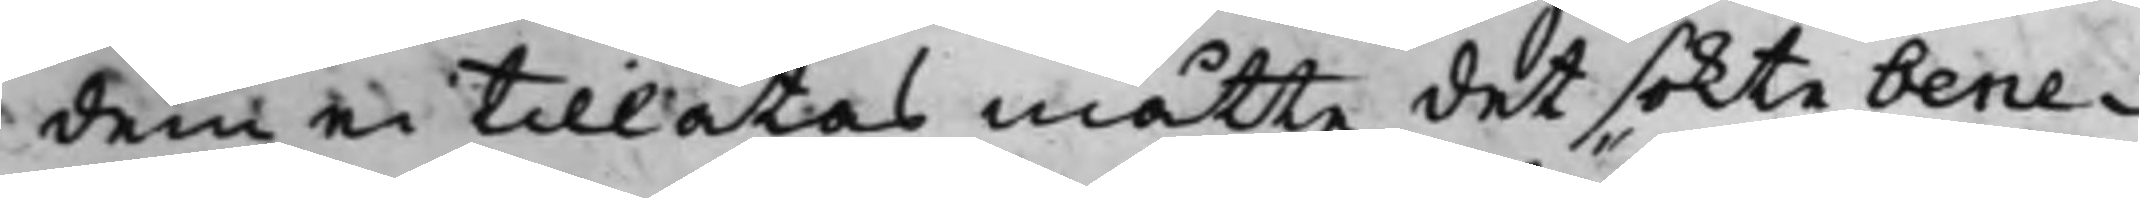dem ei tillåtas måtte det sökte bene¬
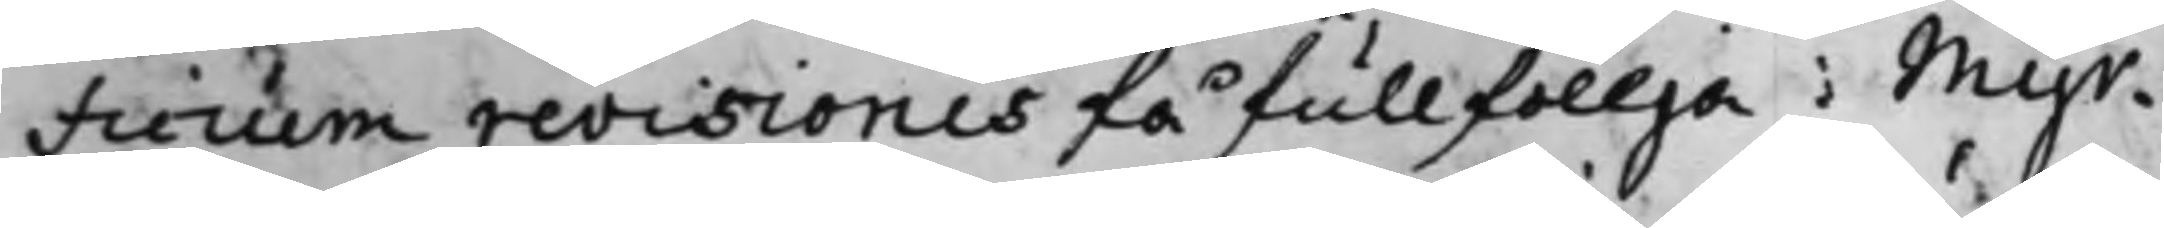ficium revisionis få fullföllja; Myr¬
